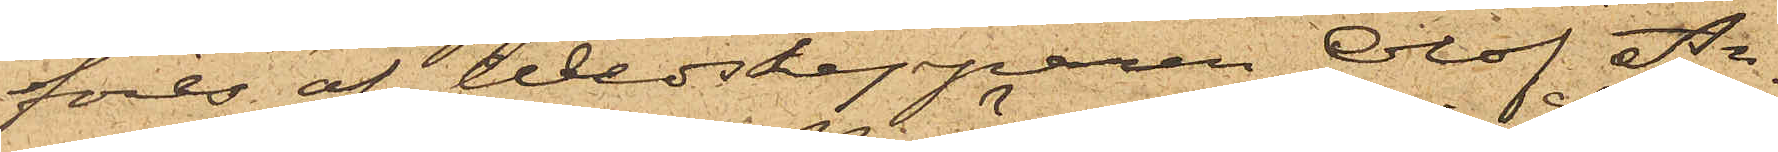föres af Wedskepparen Olof An¬
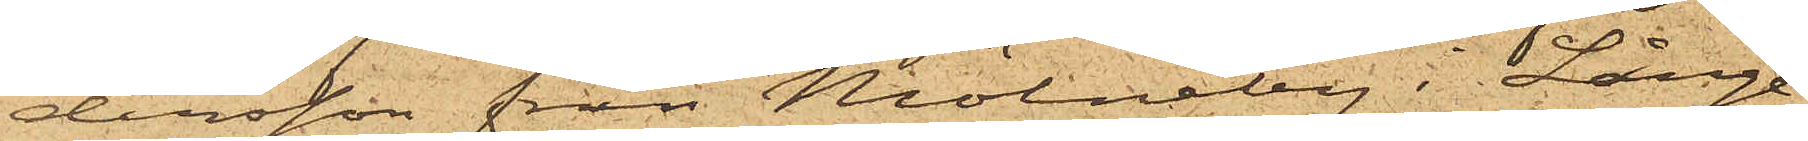dersson från Mölneby i Långe¬
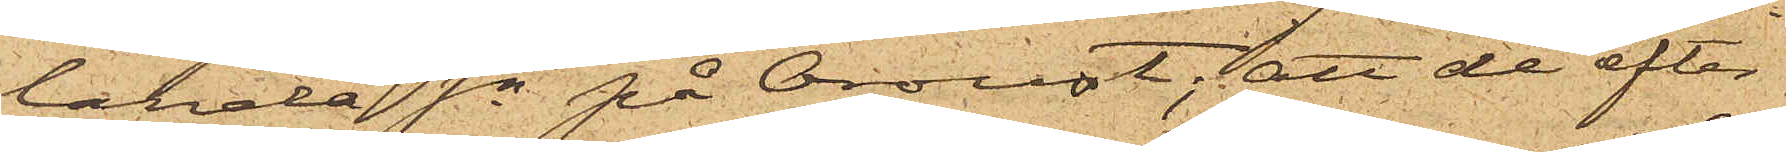landa Sn på Oroust; att de efter
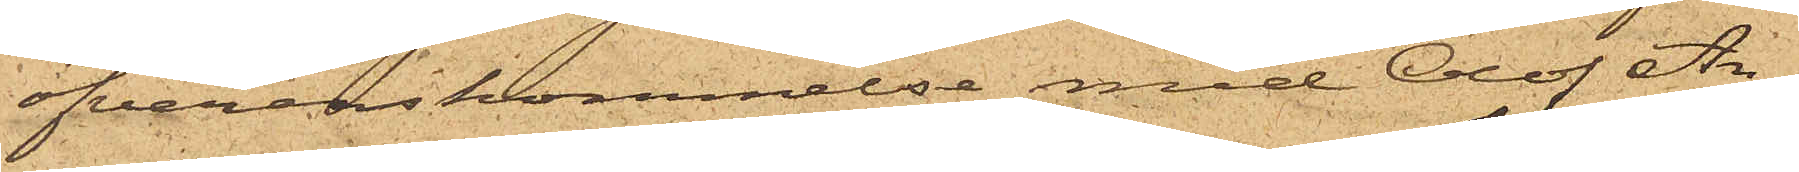öfverenskommelse med Olof An¬
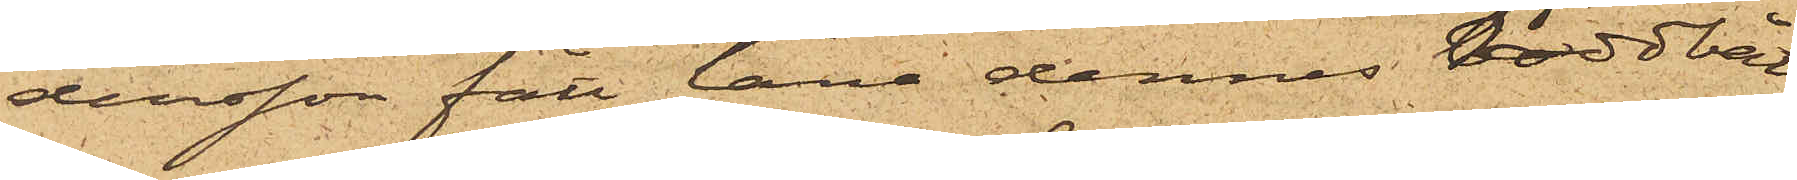dersson fått låna dennes roddbåt
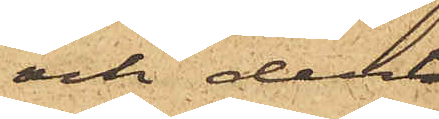och deri
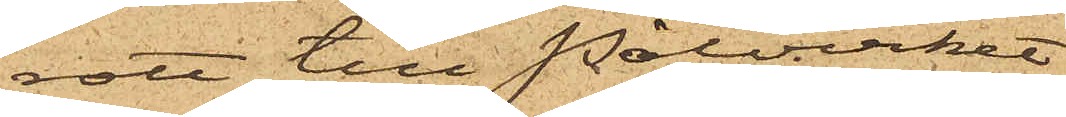rott till Pålverket,
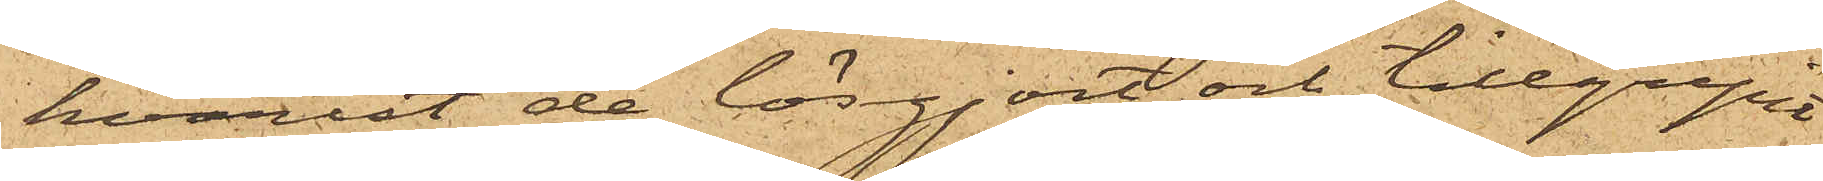hvarest de lösgjort och tillgripit
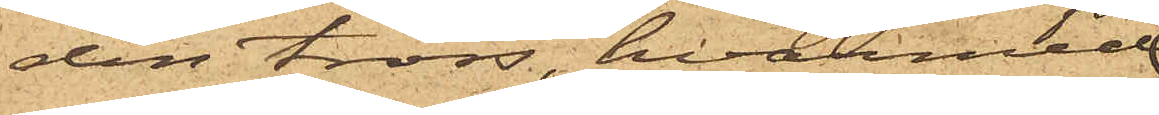den tross, hvarmed
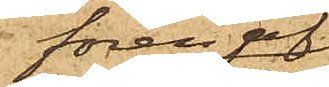fören af
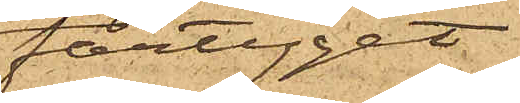fartyget
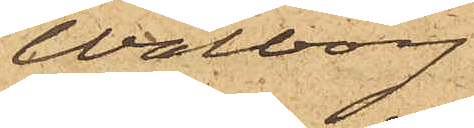Walborg
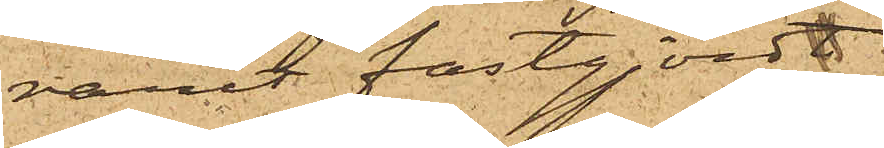varit fastgjordt
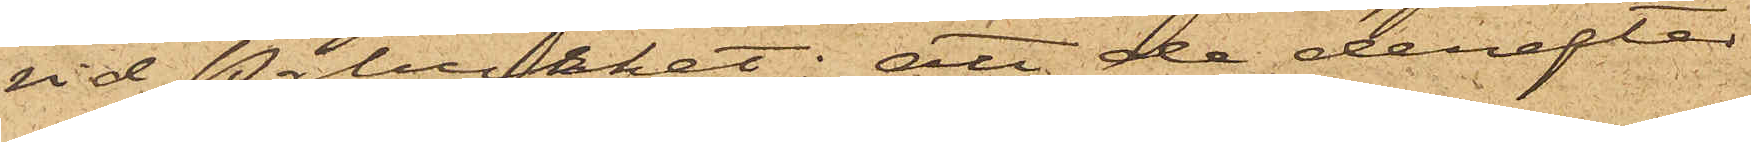vid Pålvirket; att de derefter
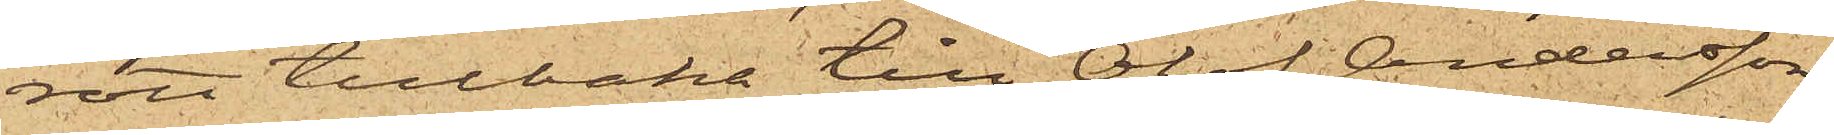rott tillbaka till Olof Anderssons
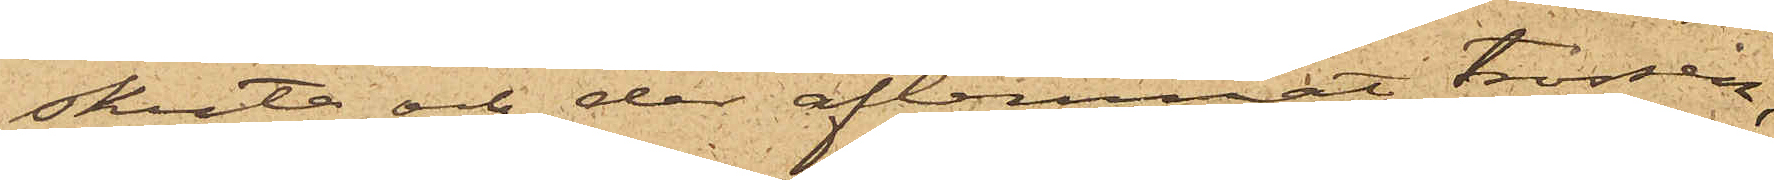skuta och der aflemnat trossen,
